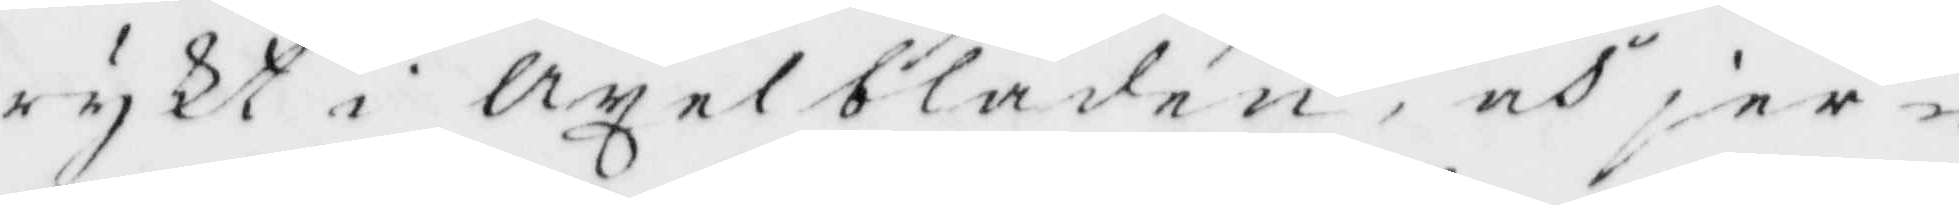rykt i axelbladen, och jer¬
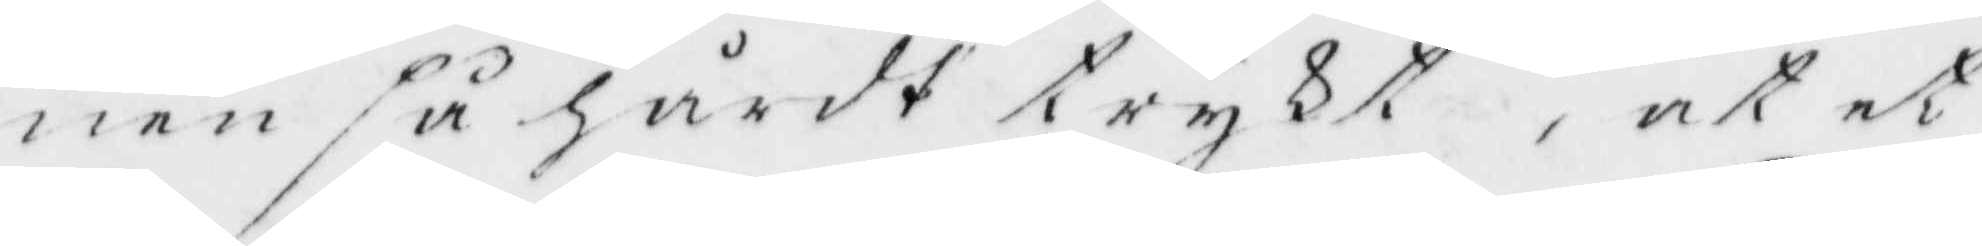nen så hårdt trykt, at et
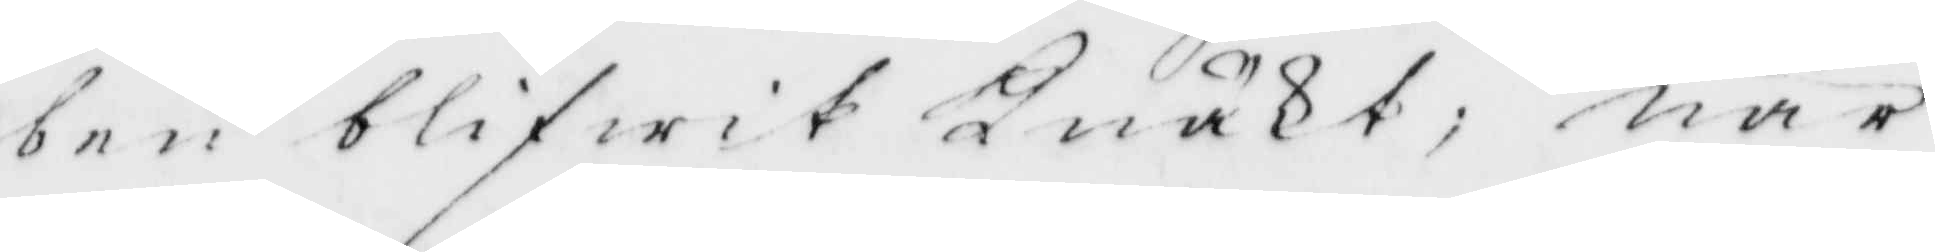ben blifwit Knäkt, när
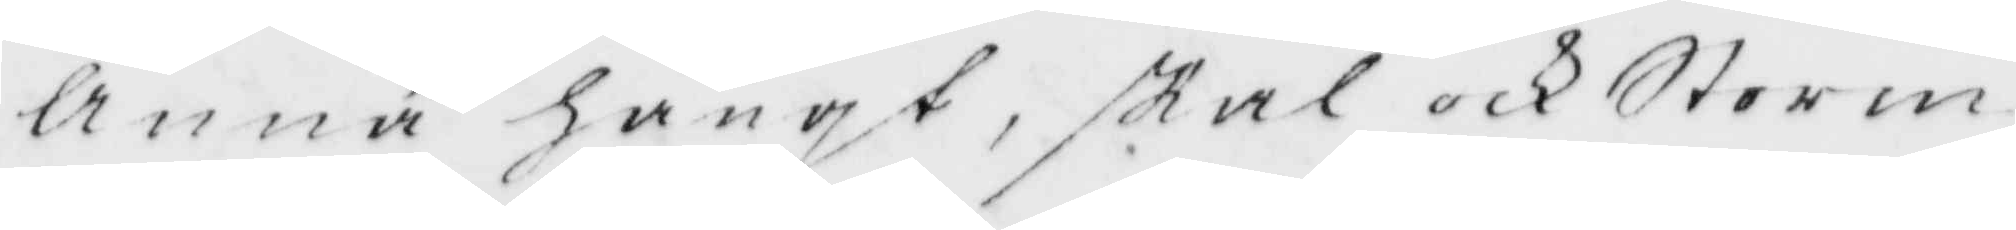Anna hängt, skal och Storm
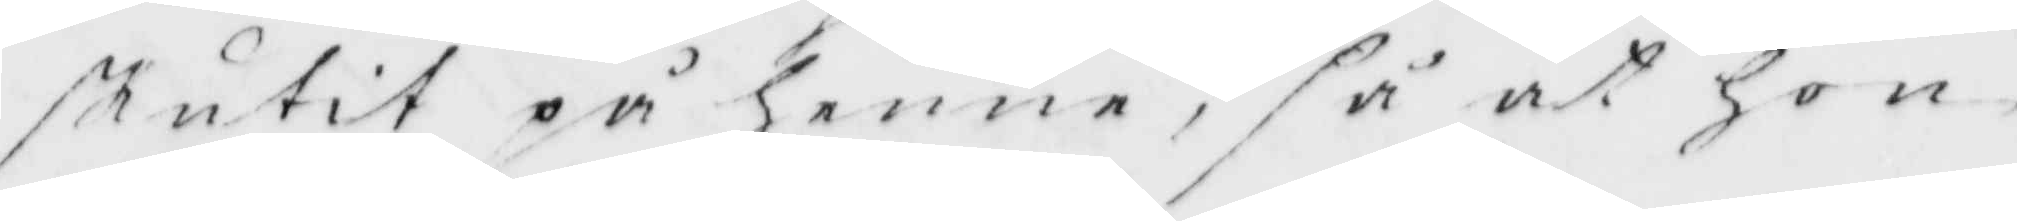skutit på henne, så at hon
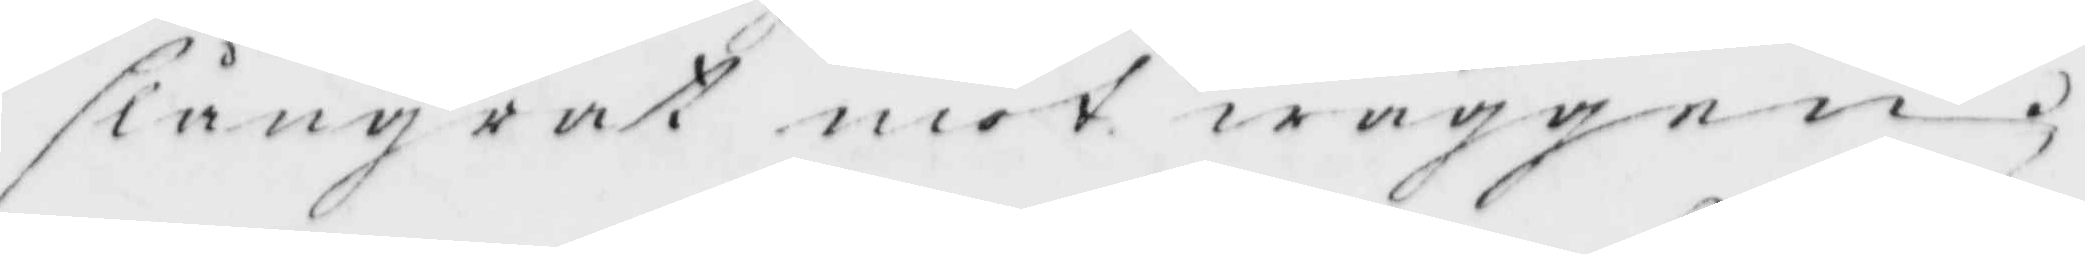slångrat mot wäggen;
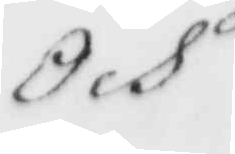Och
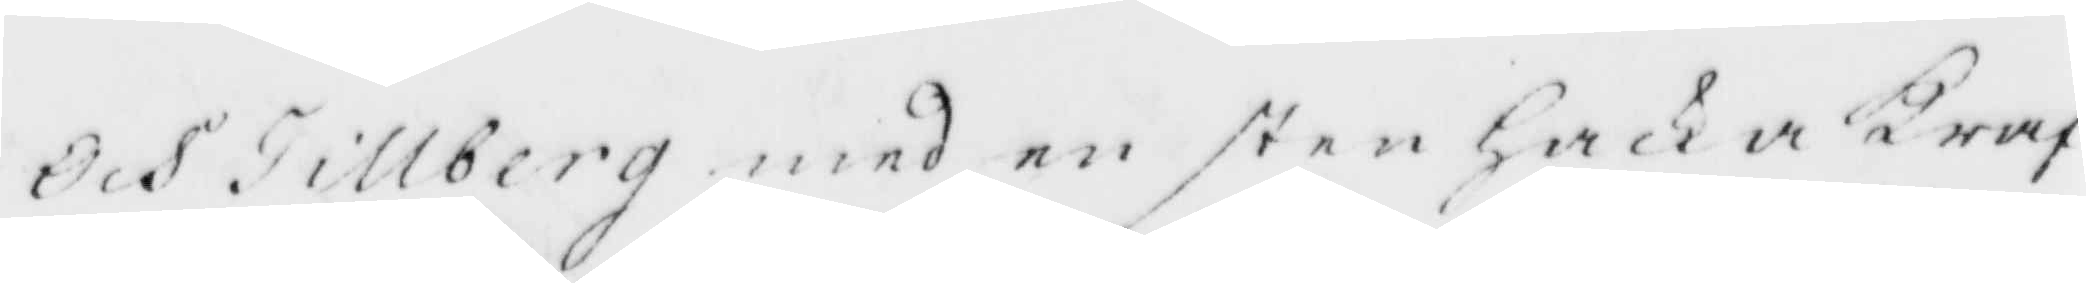Och Tillberg med en sten hacka kraf¬
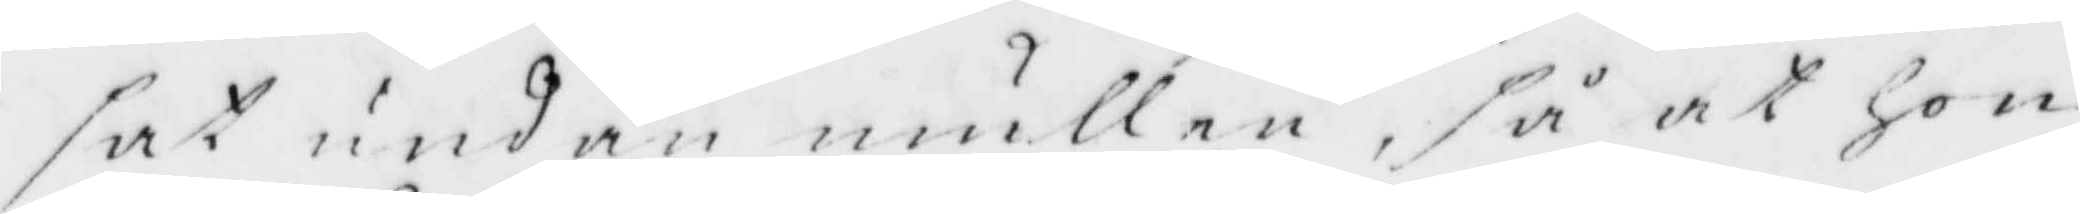sat undan mullen, så at hon
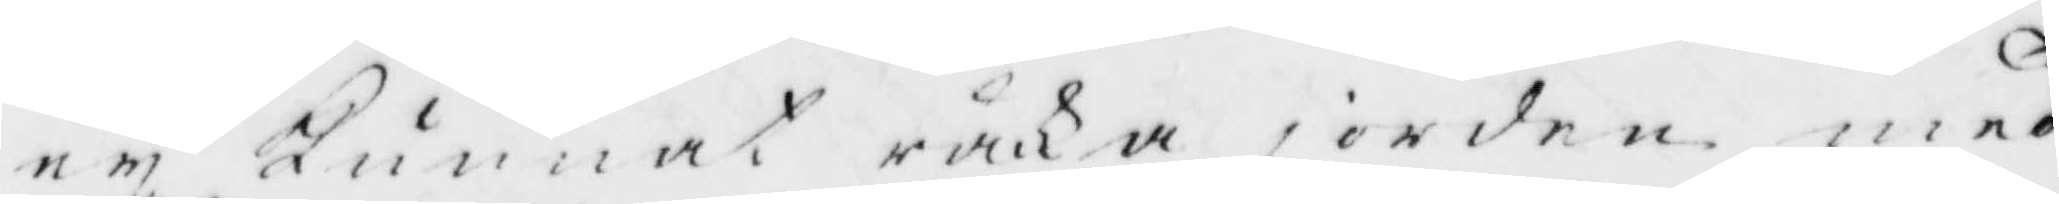ey Kunnat räcka jorden med
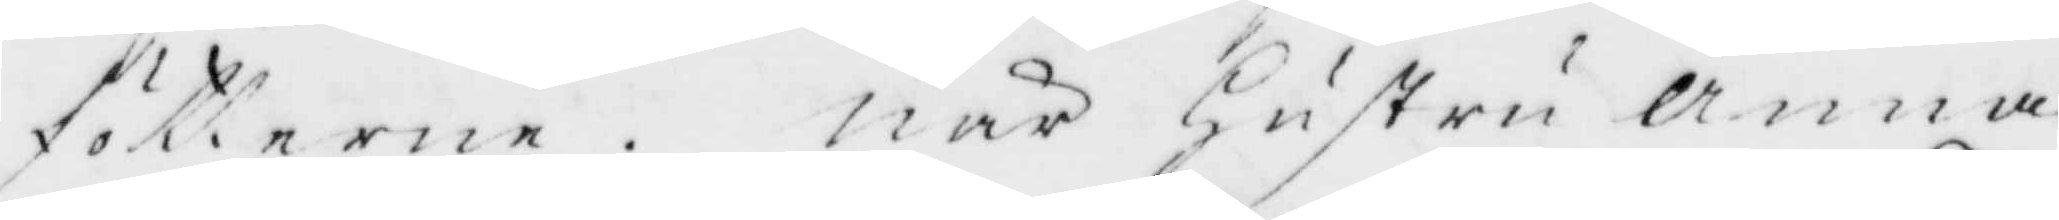fötterne. När Hustru Anna
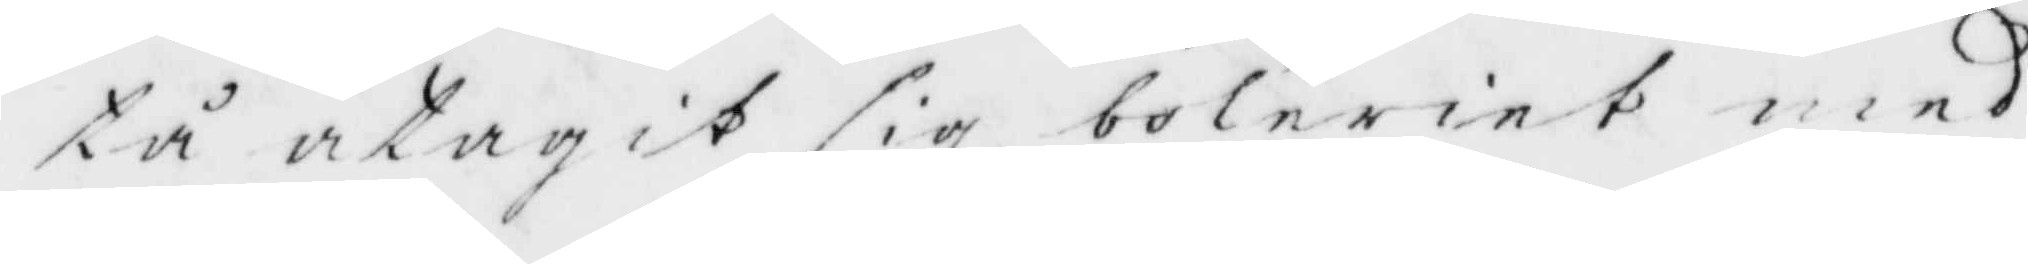tå åtagit sig boleriet med
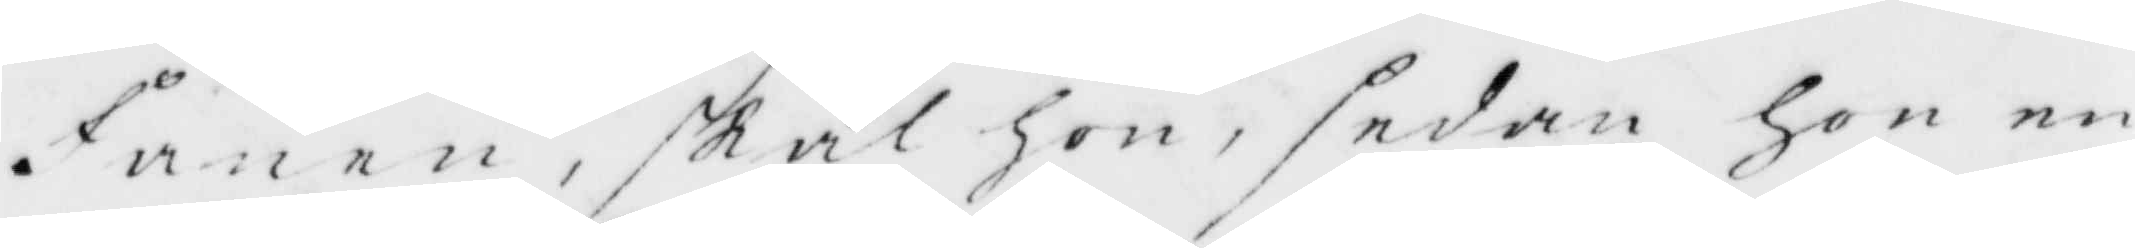Fånen, skal hon, sedan hon en
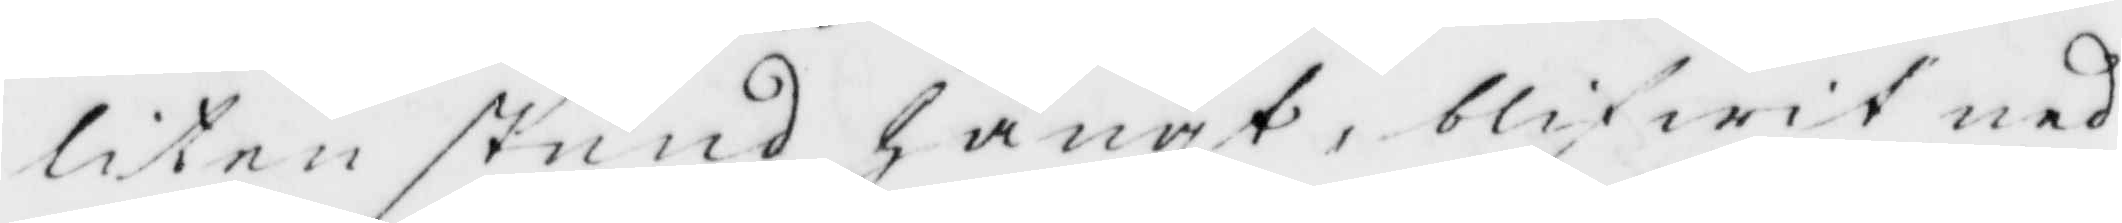liten stund hängt, blifwit ned¬
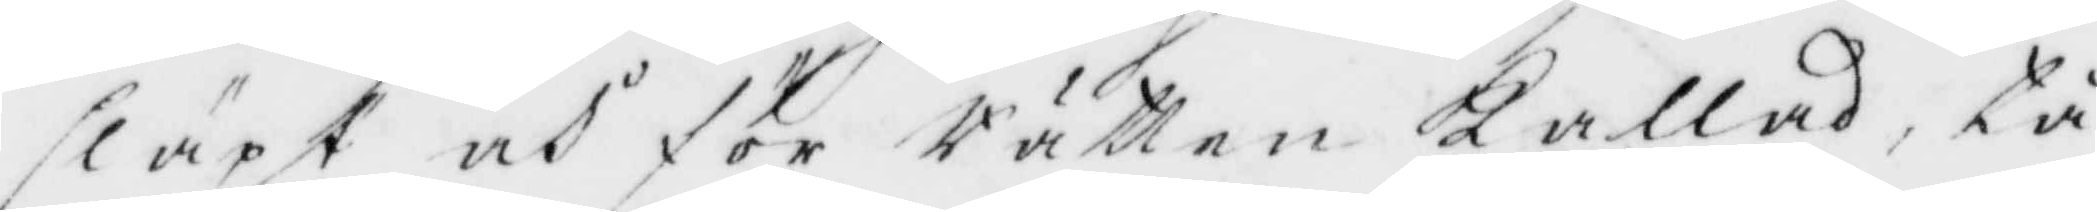släpt och för Rätten kallad, tå
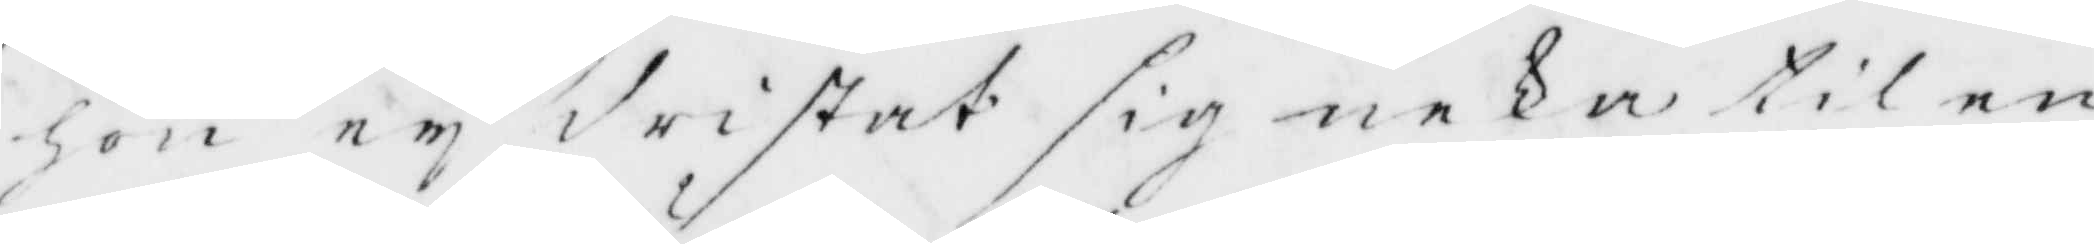hon ey dristat sig neka til en
